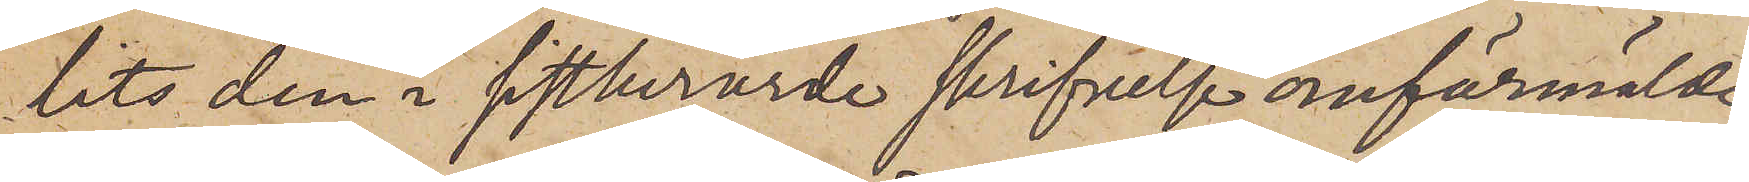tits den i sistberörde skrifvelse omförmälde
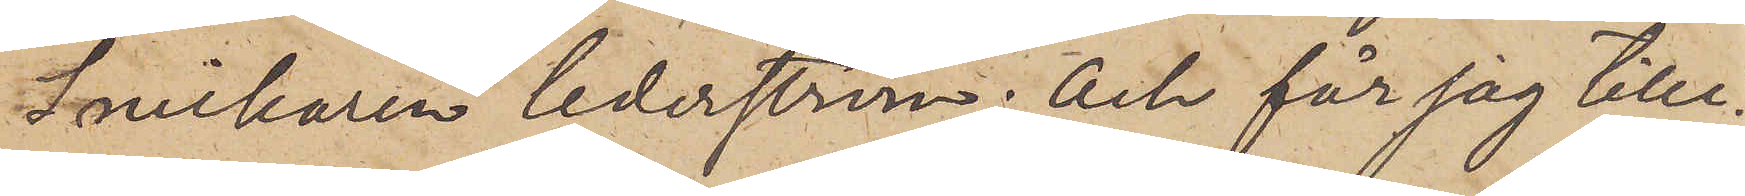Snickaren Cederström; och får jag tilli¬
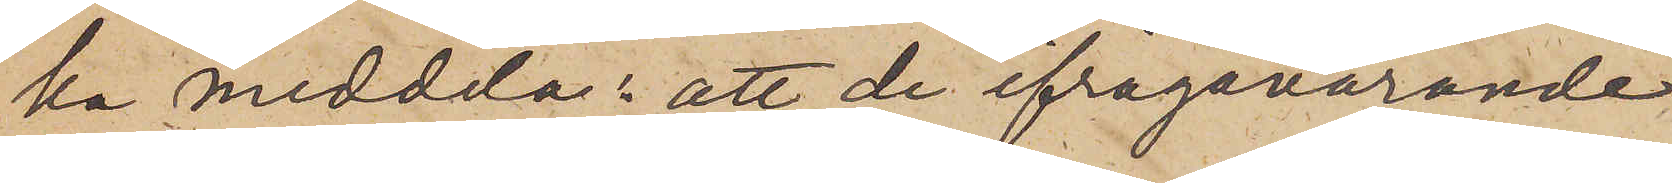ka meddela: att de ifrågavarande
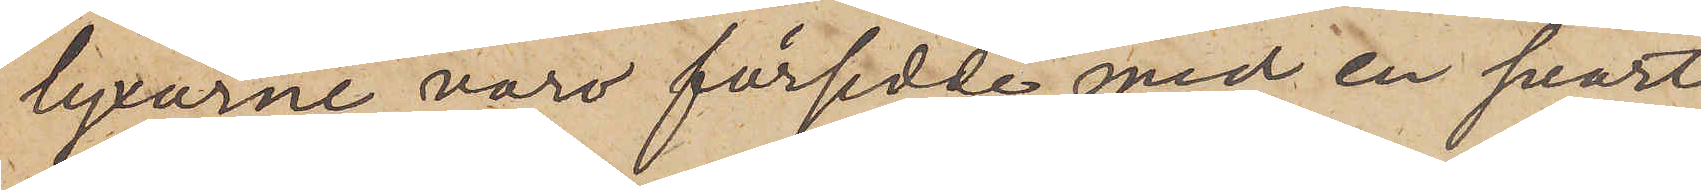byxarne voro försedde med en svart
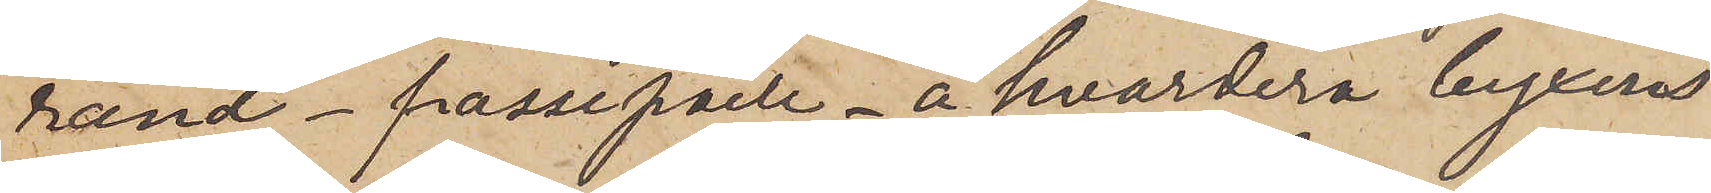rand passepaile å hvardera byxers
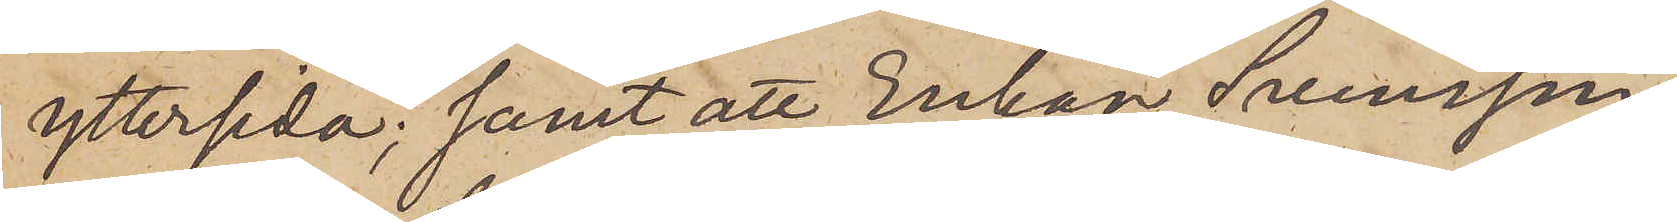yttersida; samt att Enkan Svensson
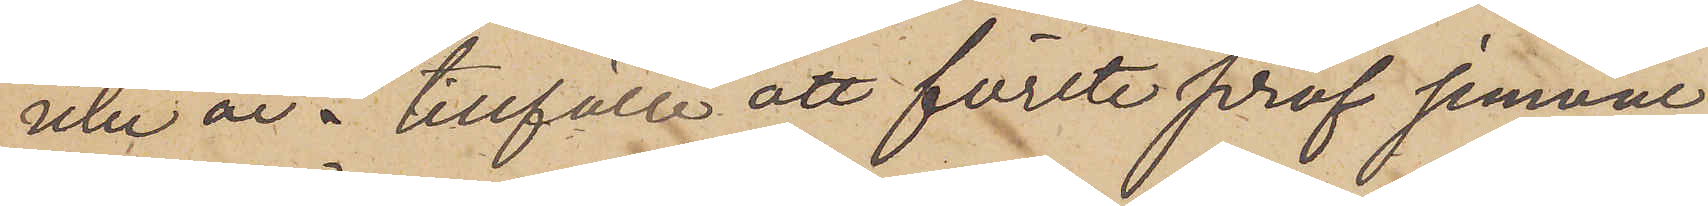icke är i tillfälle att förete prof jemväl
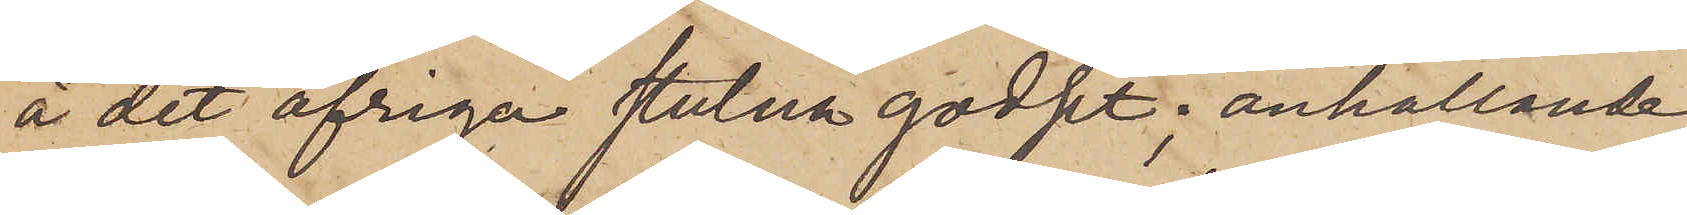å det öfriga stulna godset, anhållande
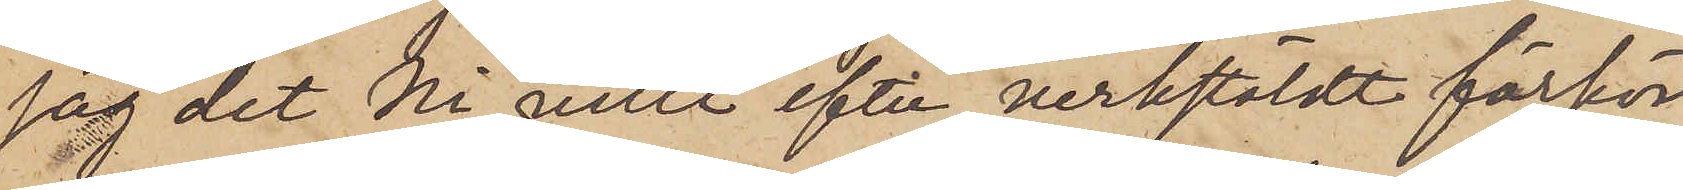jag det Ni ville efter verkstäldt förhör
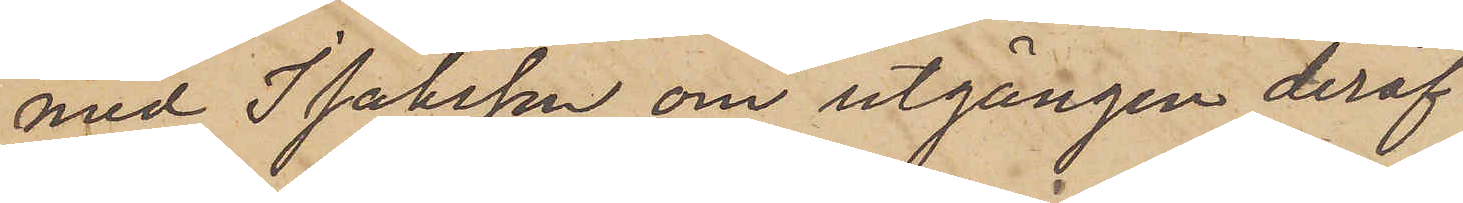med Isaksson om utgången deraf
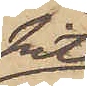hit
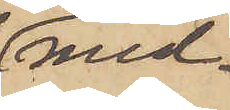med¬
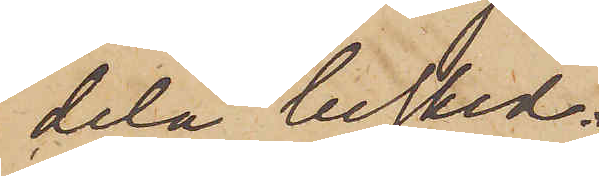dela besked.
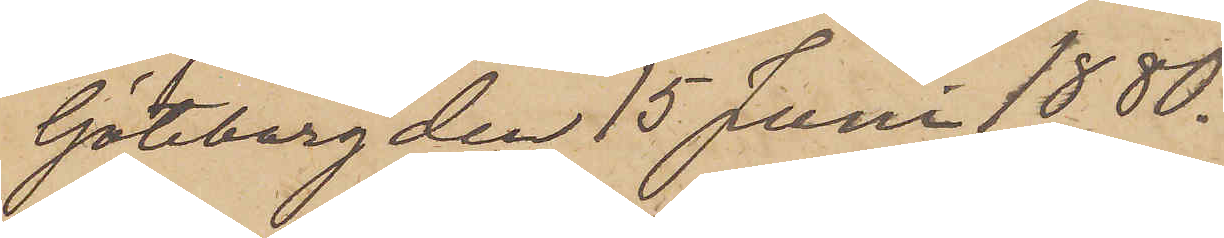Göteborg den 15 Juni 1880.
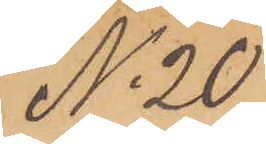No 20
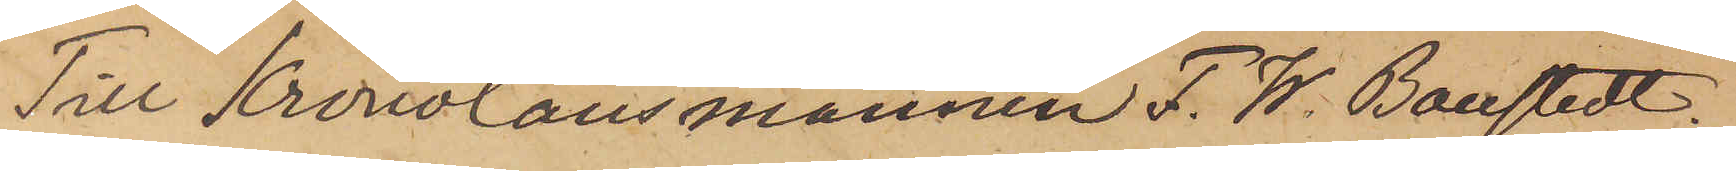Till Kronolänsmannen F. W. Boustedt.
